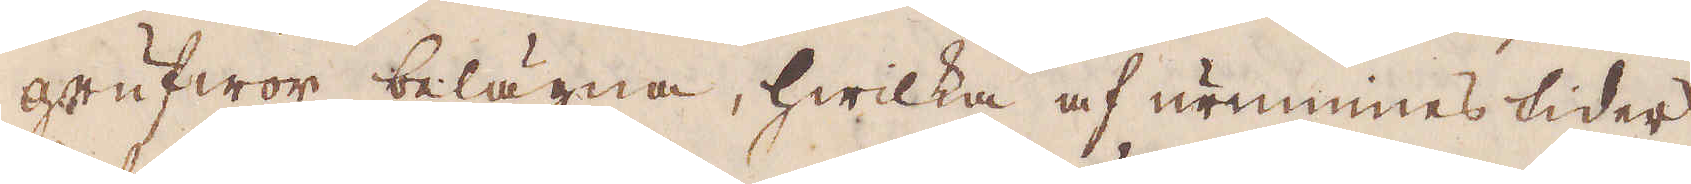grufwor belägna, hwilka af urminnes tider
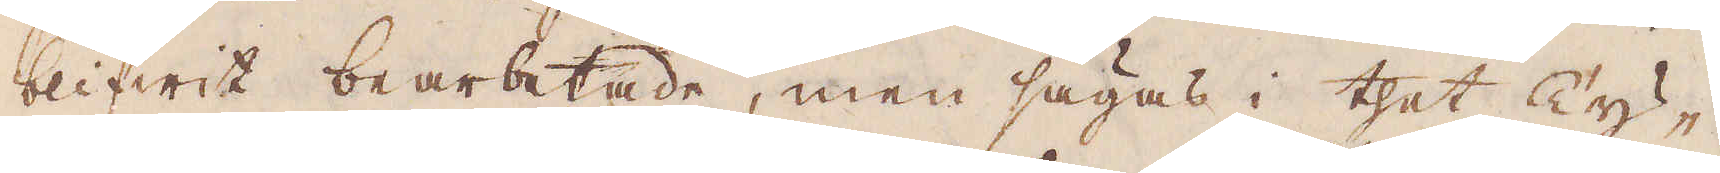blifwit bearbetade, men sägas i thet Ty-
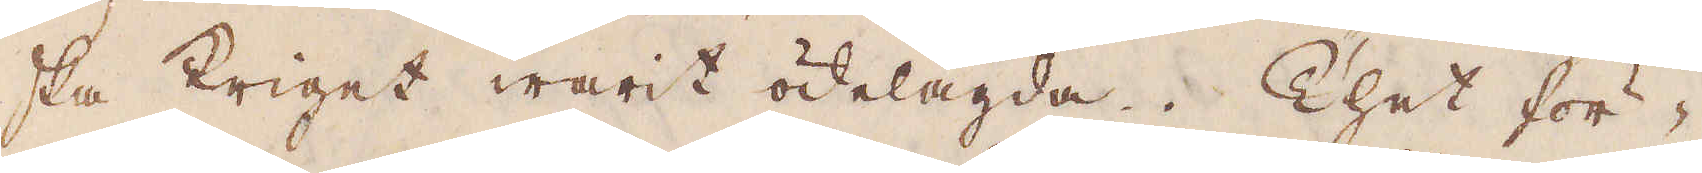ska kriget warit ödelagda. Thet för-
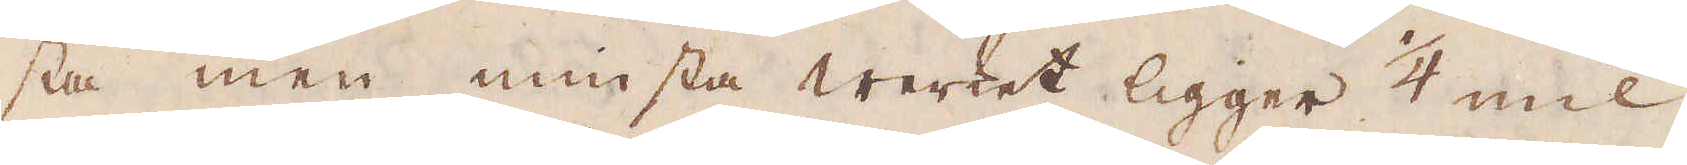sta men minsta Werket ligger 1/4 mil
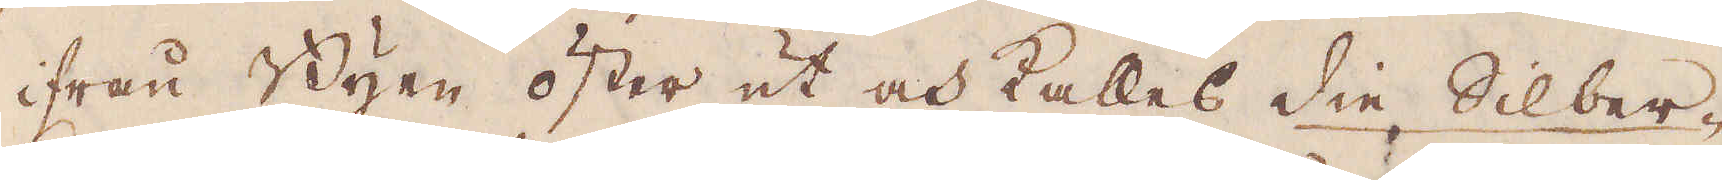ifrån Byen öster ut och kallas die Silber-
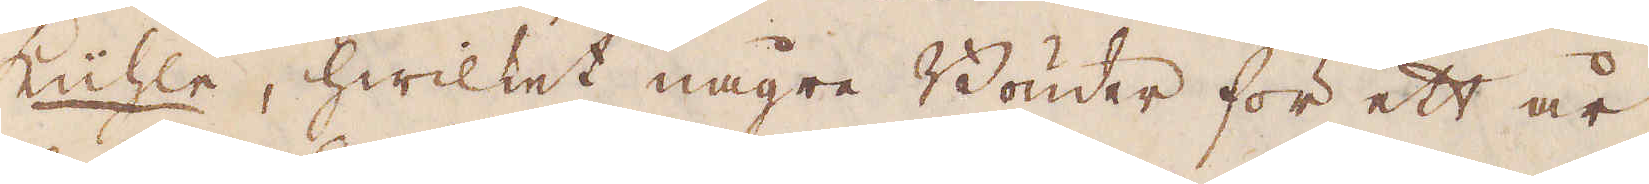Küichle, hwilket någre Bönder för ett r,
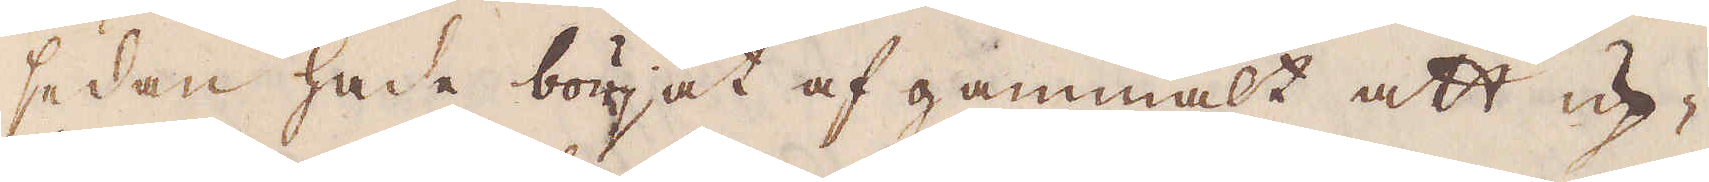sedan hade börjat af gammalt att up-
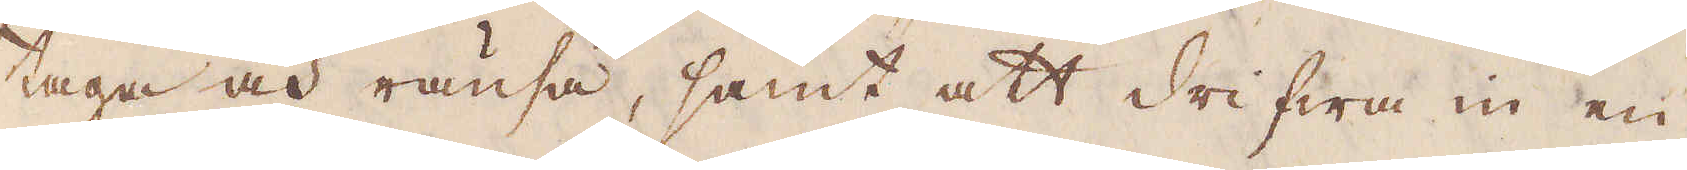taga och ränsa, samt att drifwa in en
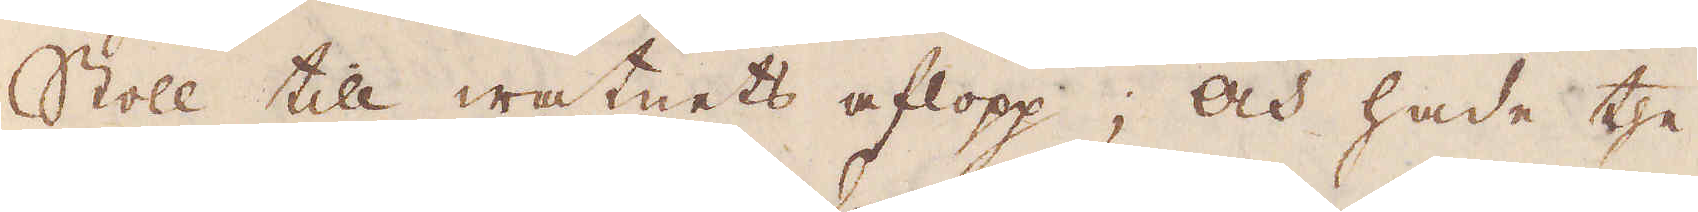Stoll till watnets aflopp; och hade the
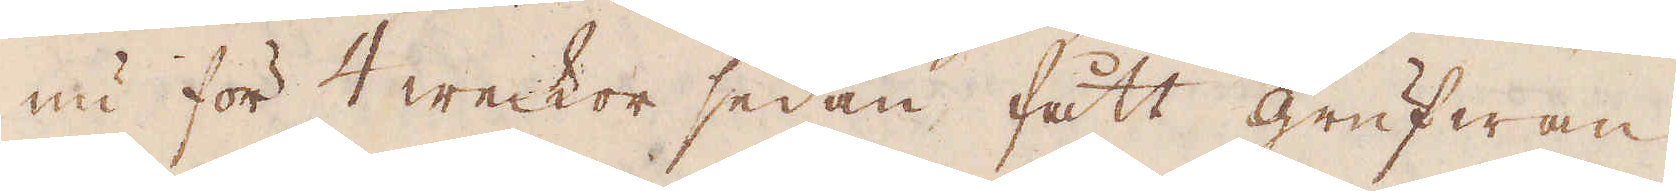nu för 4 weckor sedan fått grufwan
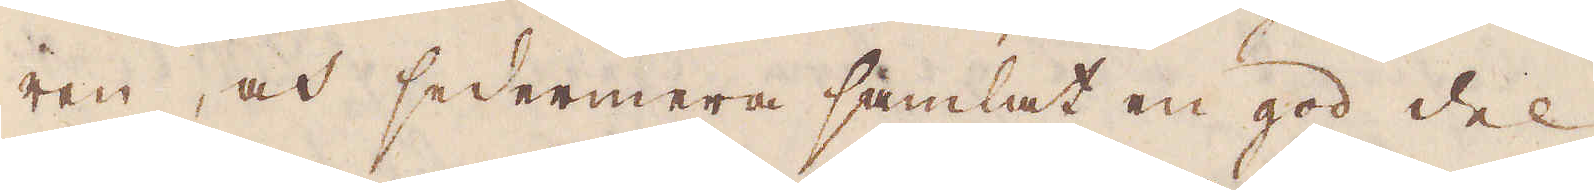ren, och sedermera samlat en god del
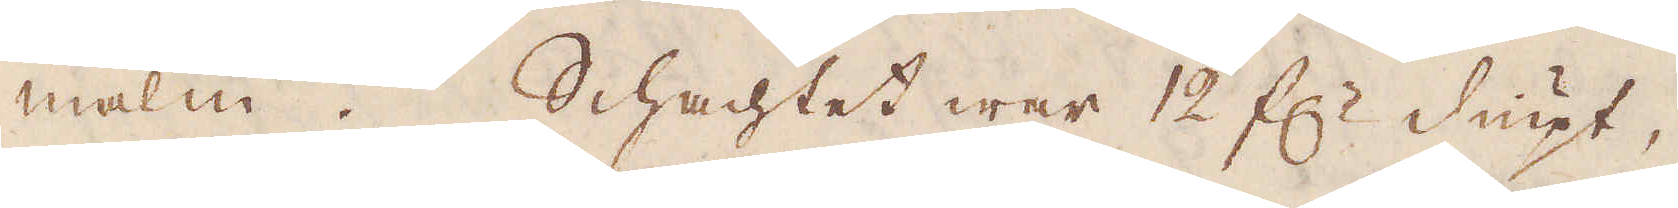malm. Schachtet war 12 f:r diupt,
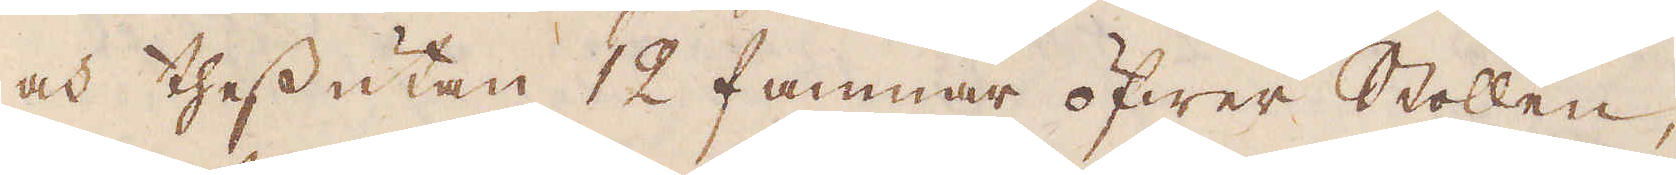och thessutan 12 famnar öfwer Stollen,
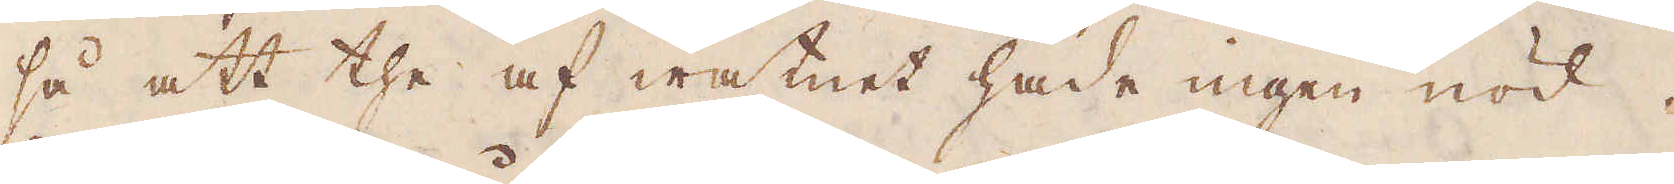så att the af watnet hade ingen nöd.
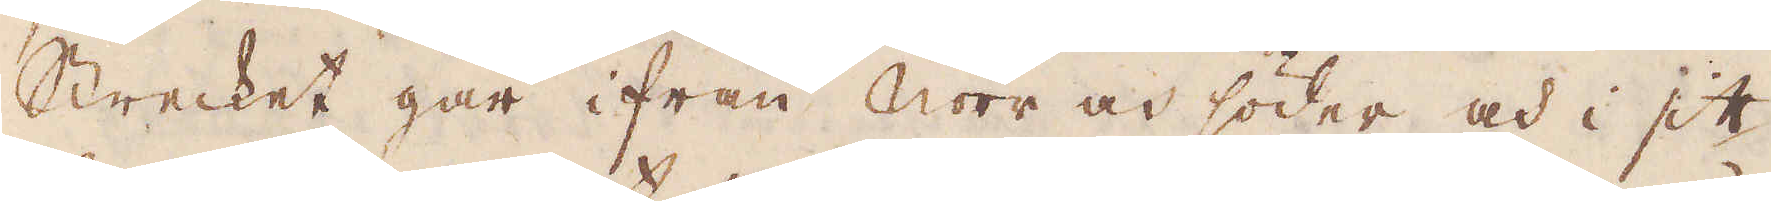Strecket går ifrån Norr och söder och i sitt
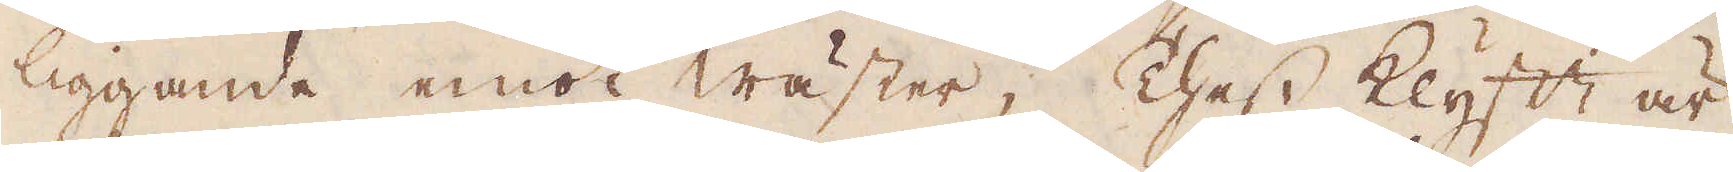liggande emot wäster; Thess klyftt är
